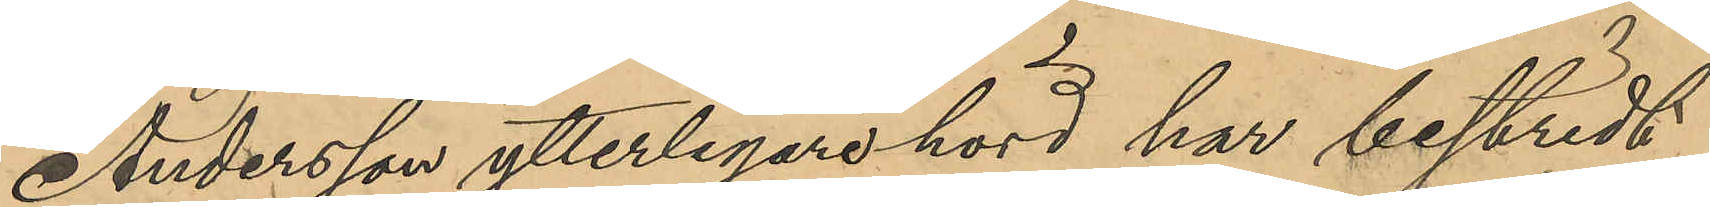Andersson ytterligare hörd har bestridt
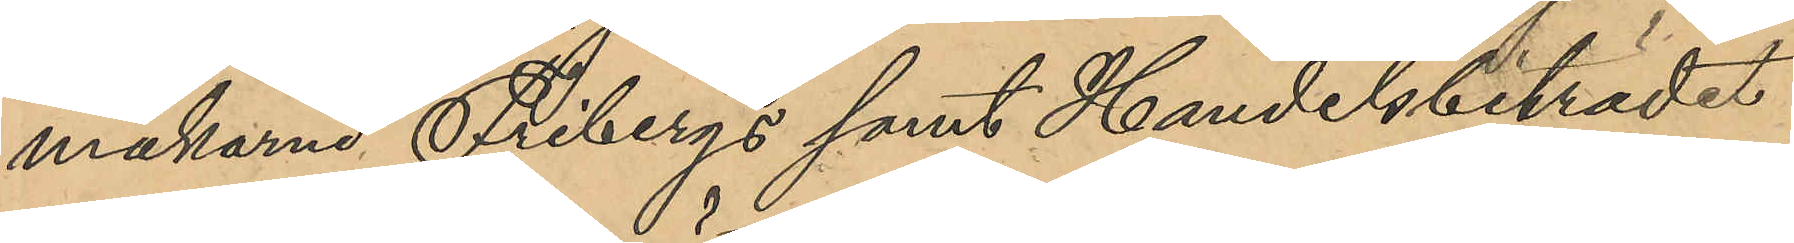makarna Fribergs samt Handelsbiträdet
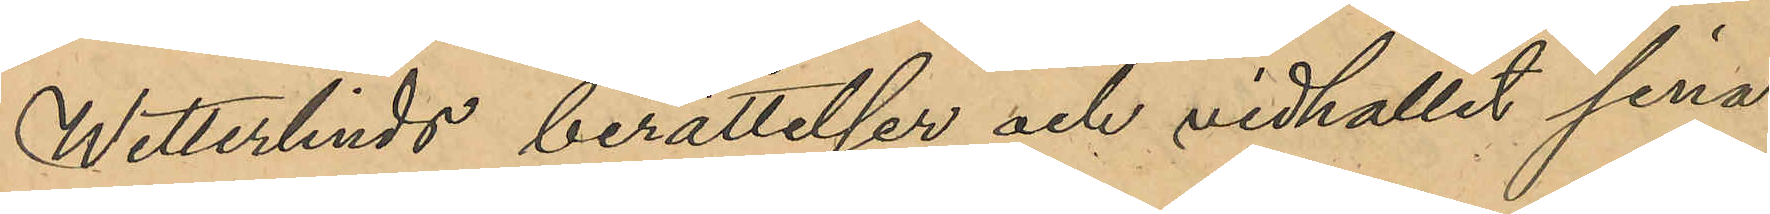Wetterlinds berättelse och vidhållit sina
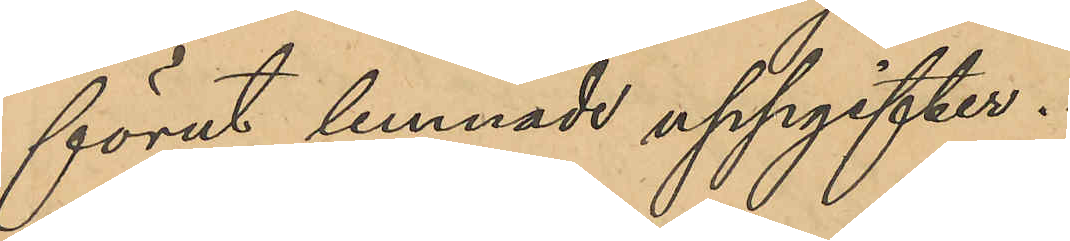förut lemnade uppgifter.
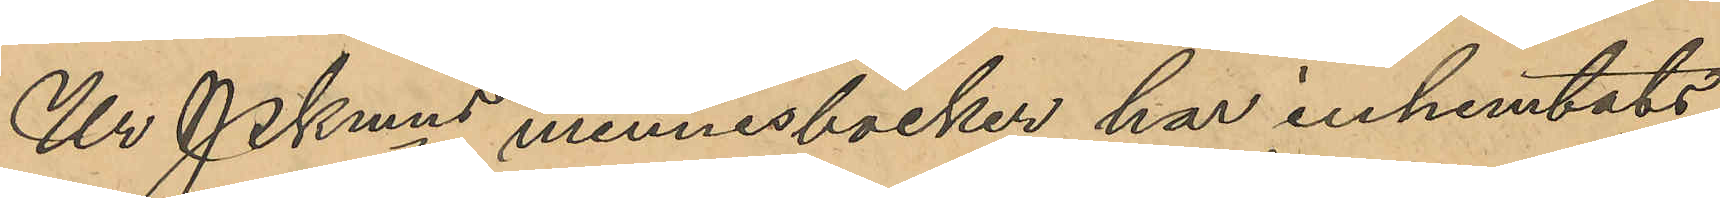Ur PKmns minnesböcker har inhemtats
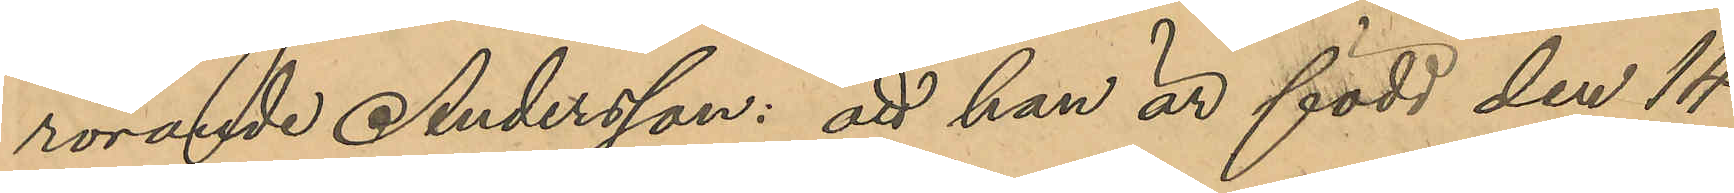rörande Andersson: att han är född den 14
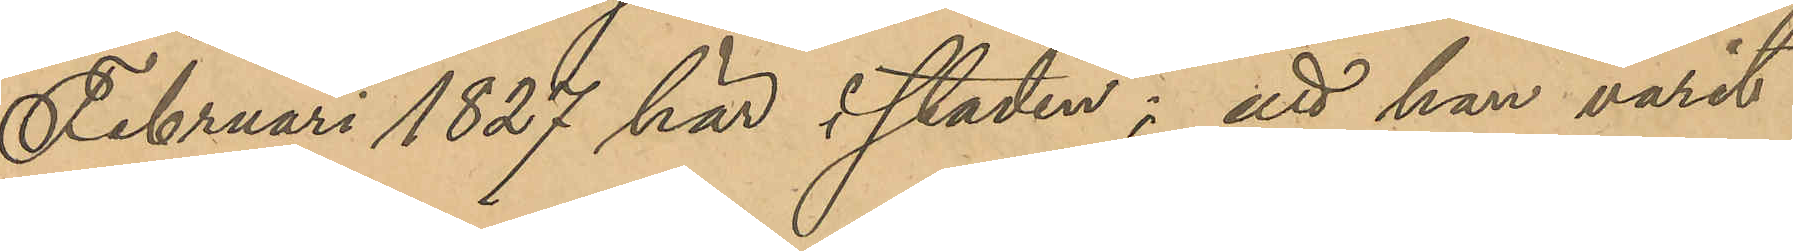Februari 1827 här i staden; att han varit
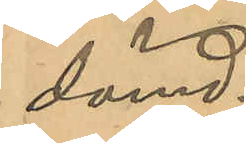dömd:
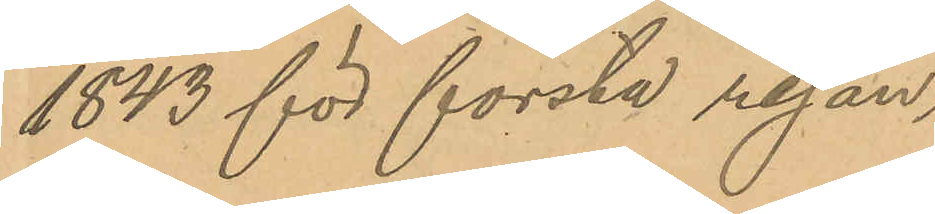1843 för första resan
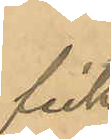fick¬
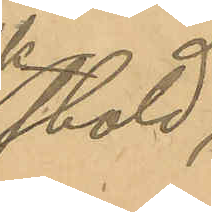stöld,
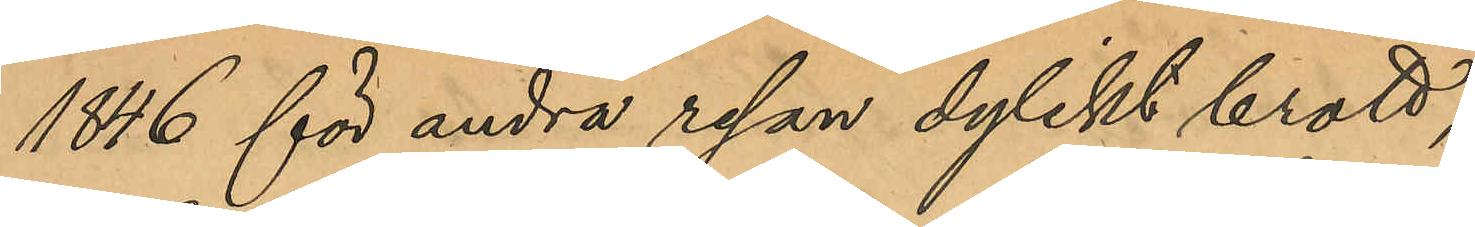1846 för andra resan dylikt brott,
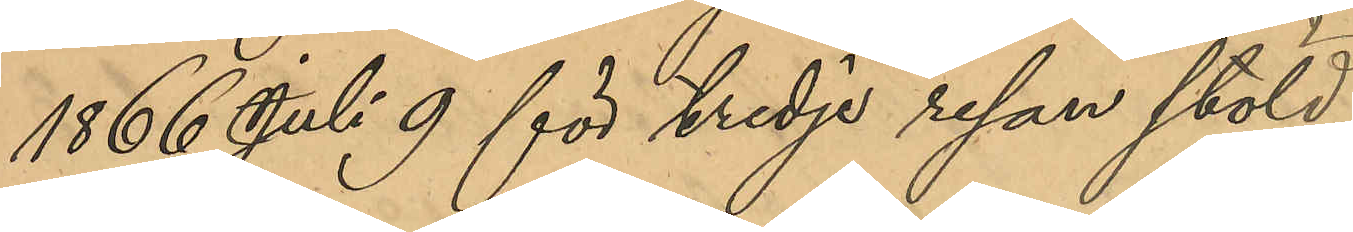1866 Juli 9 för tredje resan stöld,
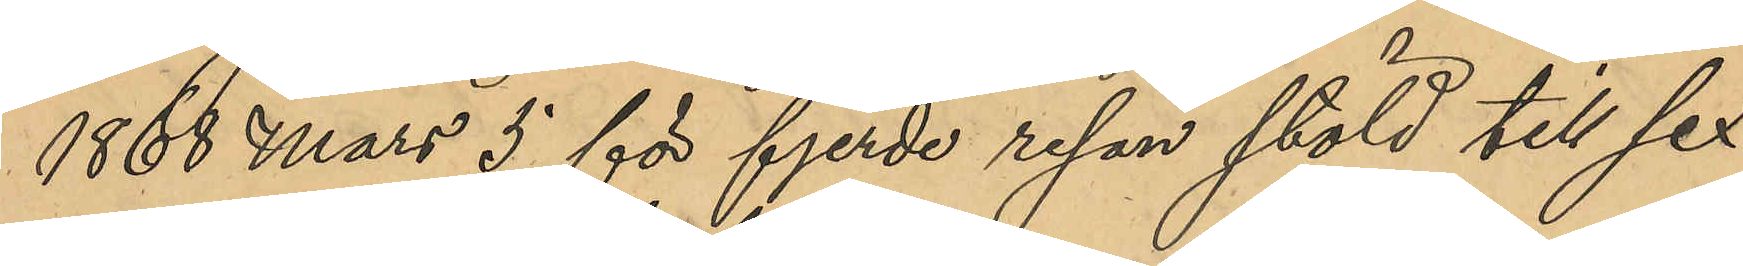1868 Mars 5 för fjerde resan stöld till sex
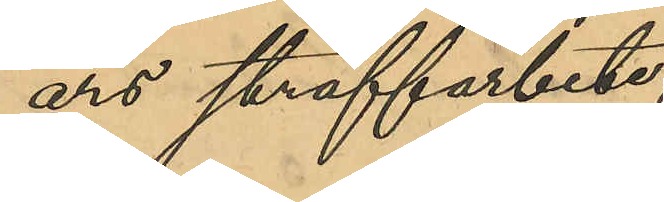års straffarbete,
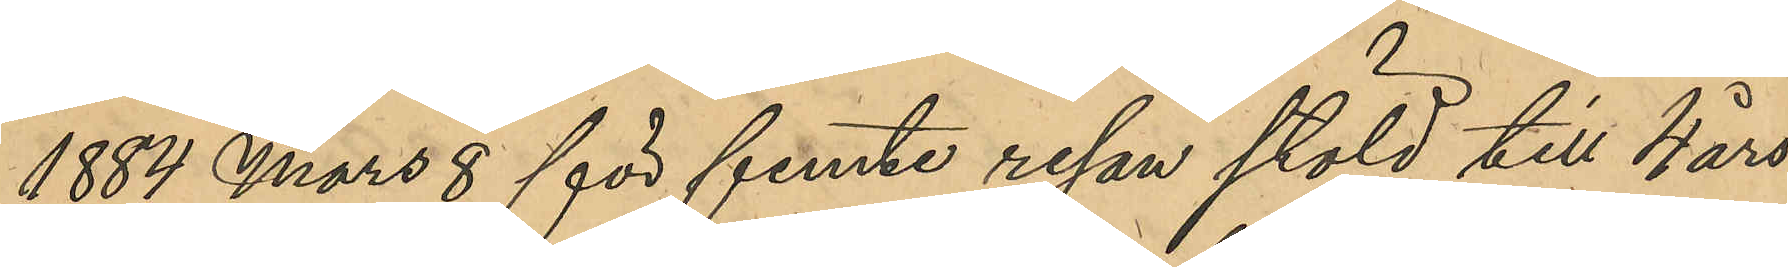1884 Mars 8 för femte resan stöld till 4 års
